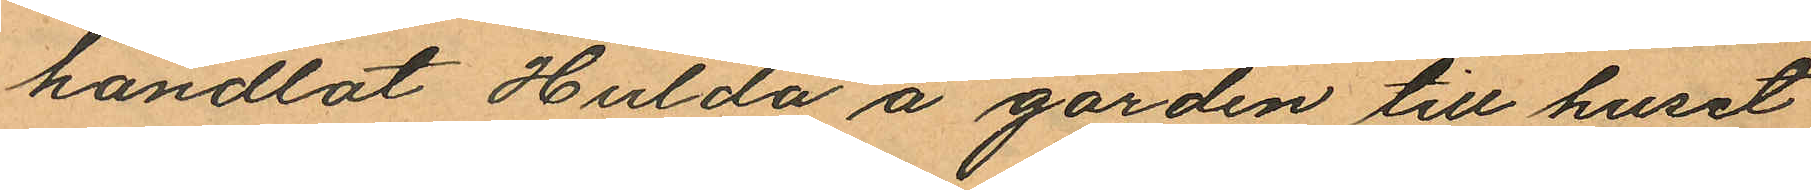handlat Hulda å gården till huset
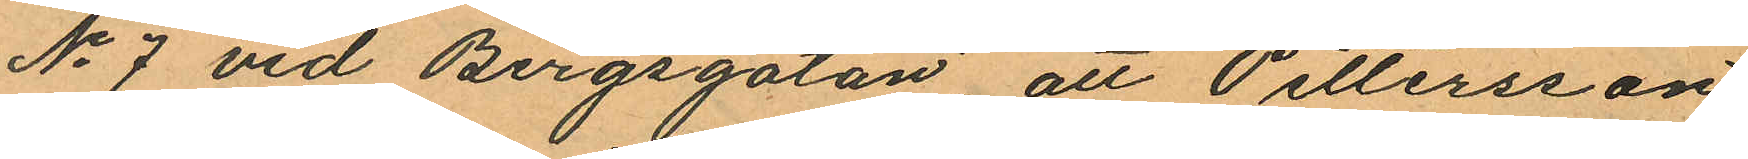No 7 vid Bergsgatan, att Pettersson
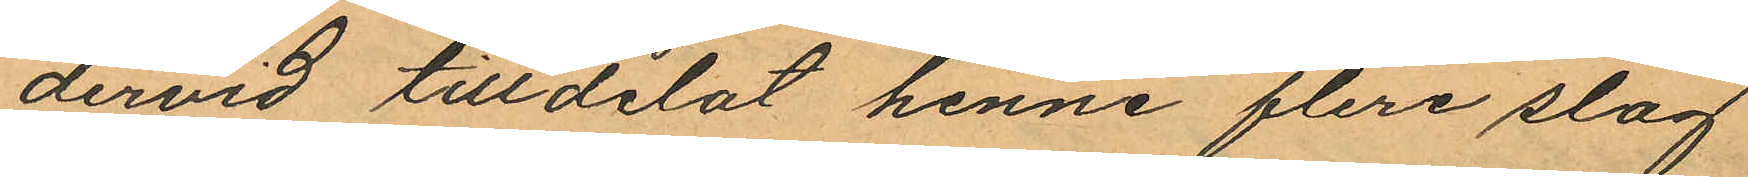dervid tilldelat henne flera slag
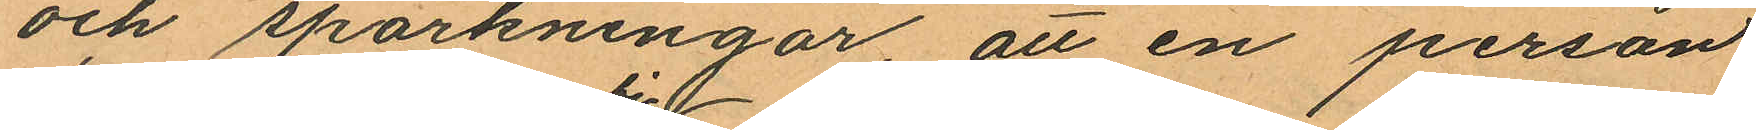och sparkningar, att en person
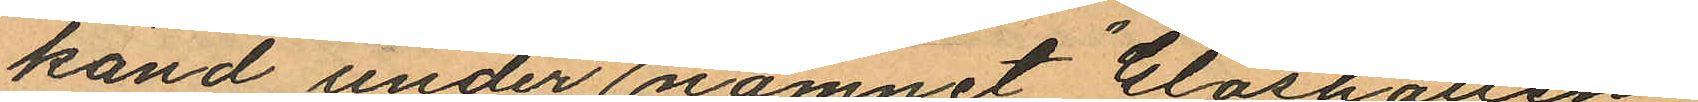känd under namnet "Glashatten"
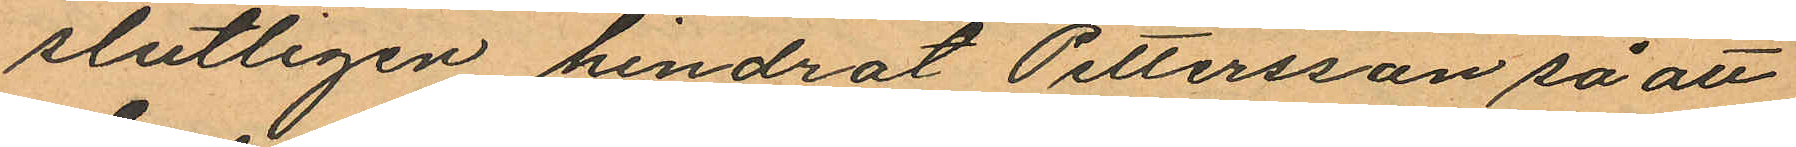slutligen hindrat Pettersson så att
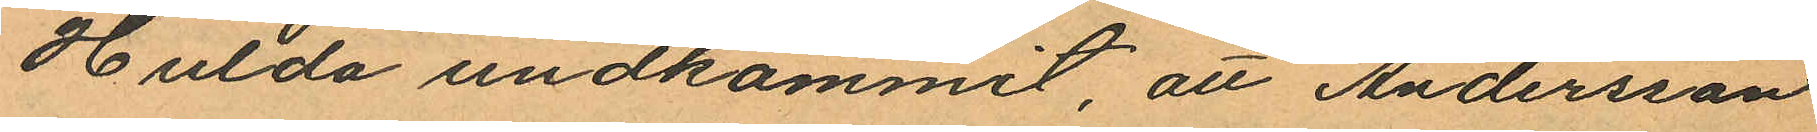Hulda undkommit, att Andersson
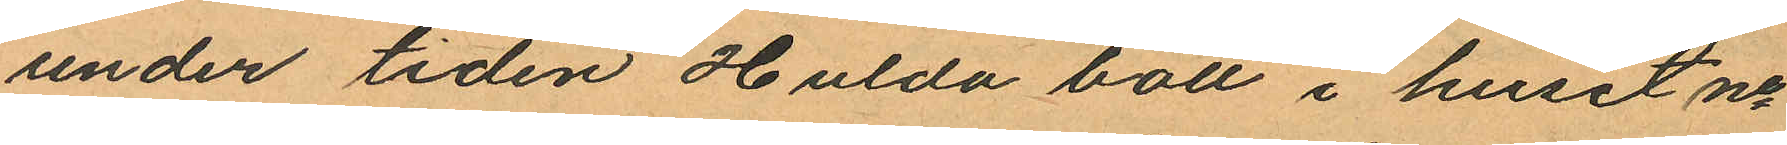under tiden Hulda bott i huset no
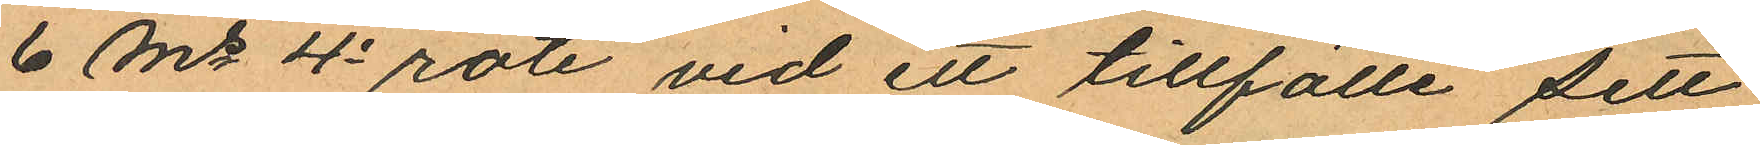6 Ms 4e rote vid ett tillfälle sett
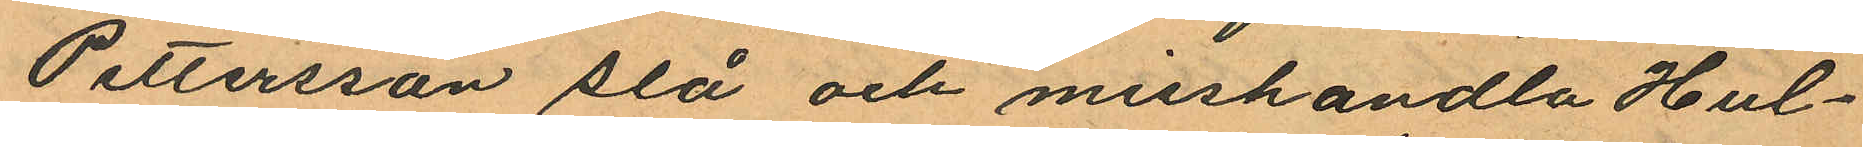Pettersson slå och misshandla Hul¬
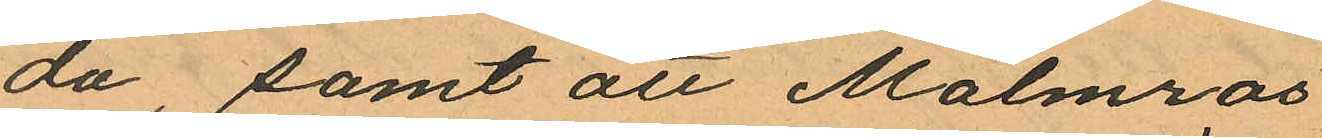da, samt att Malmros
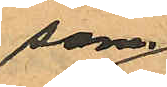som
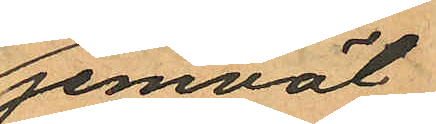jemväl
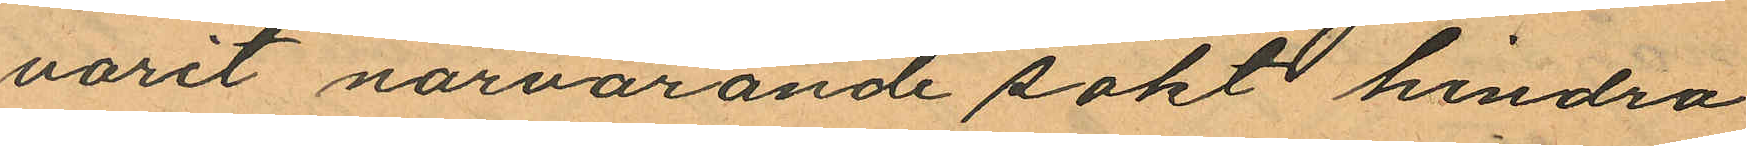varit närvarande sökt hindra
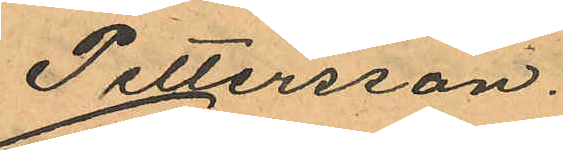Pettersson.
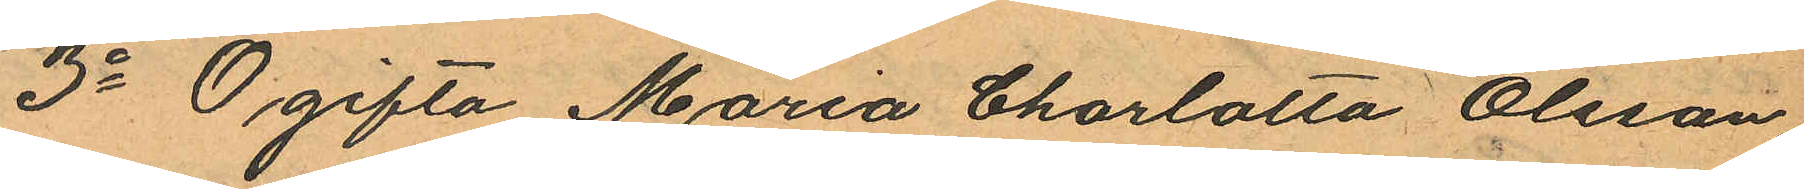3o Ogifta Maria Charlotta Olsson
